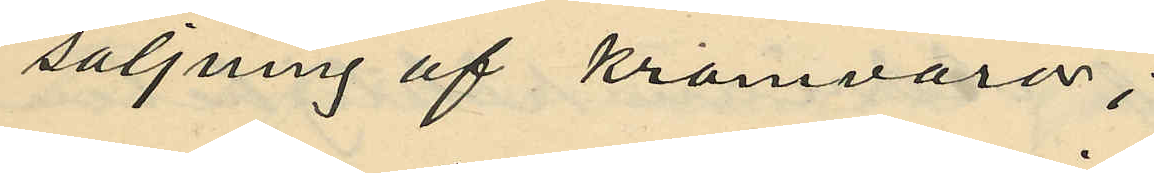säljning af kramvaror;
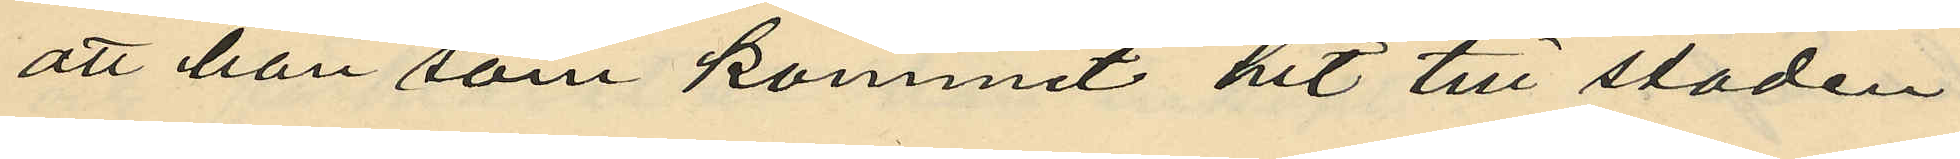att han som kommit hit till staden
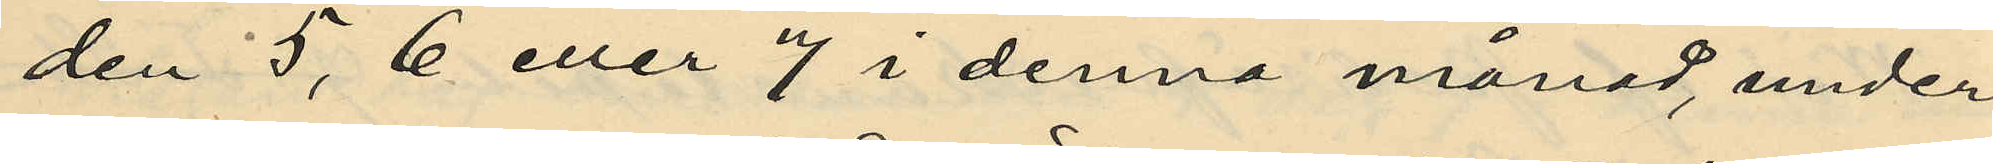den 5, 6 eller 7 i denna månad, under
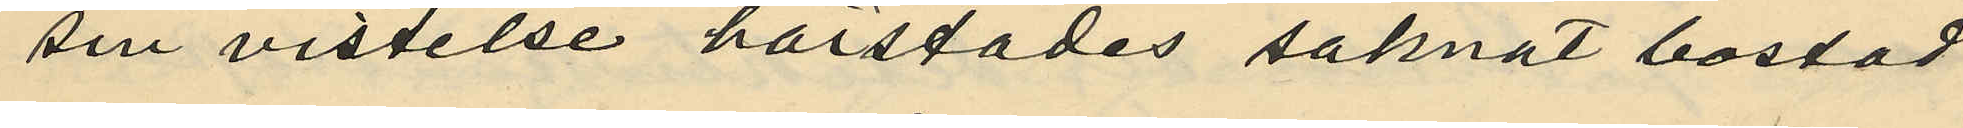sin vistelse härstädes saknat bostad
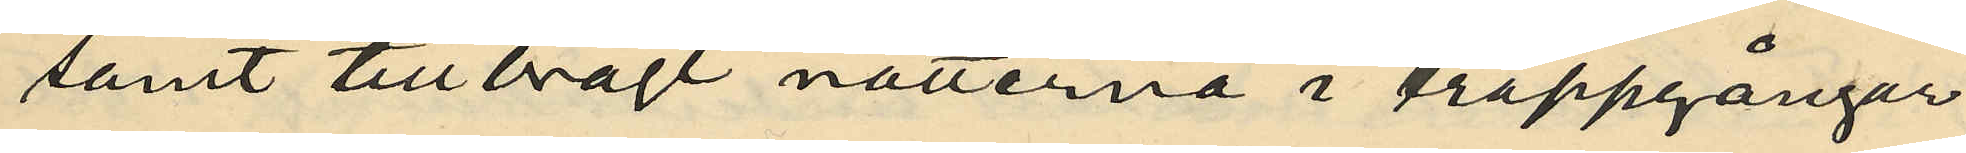samt tillbragt nätterna i trappgångar
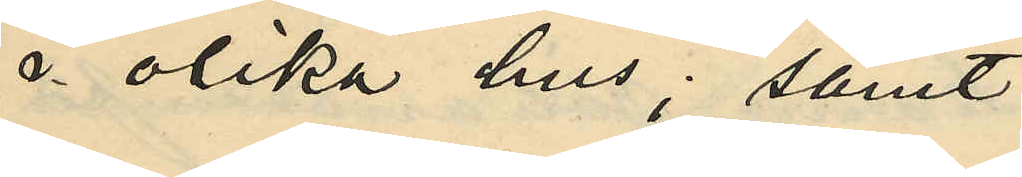i olika hus; samt
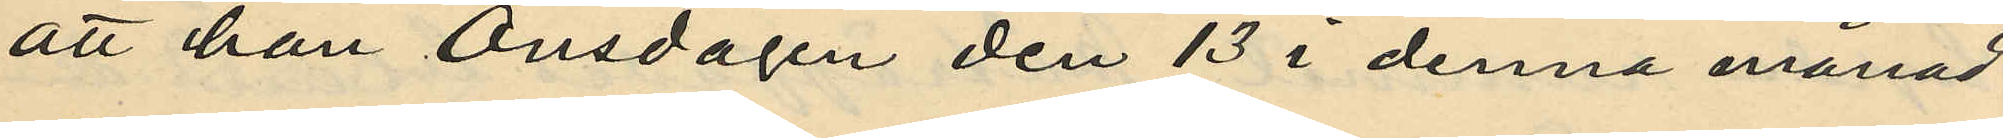att han Onsdagen den 13 i denna månad
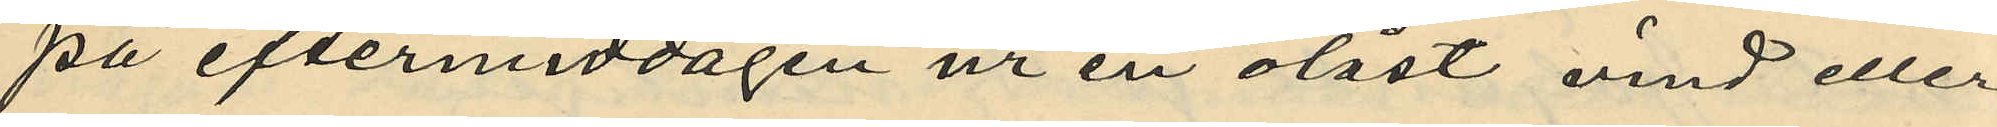på eftermiddagen ur en olåst vind eller
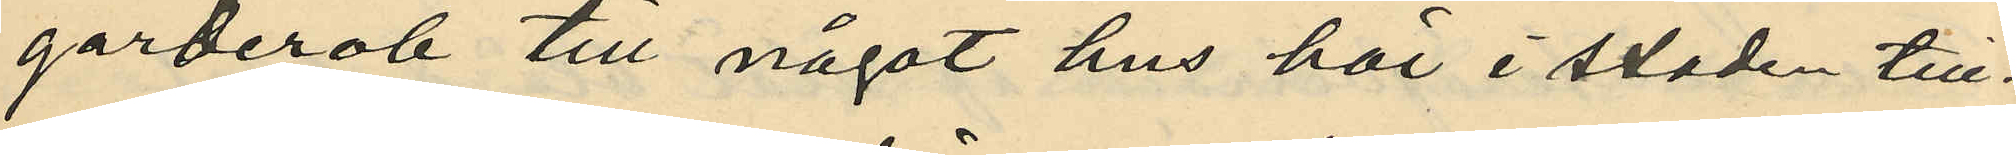garderob till något hus här i staden till¬
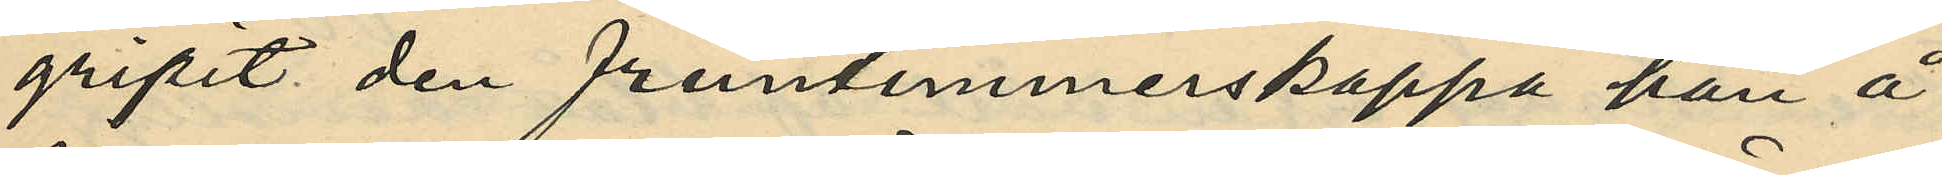gripit den fruntimmerskappa han å
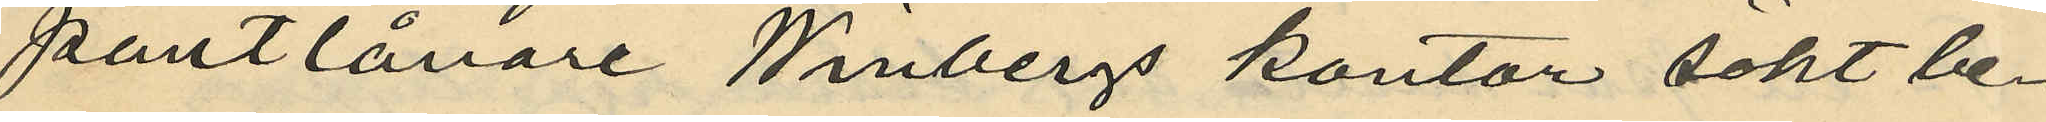pantlånare Winbergs kontor sökt be¬
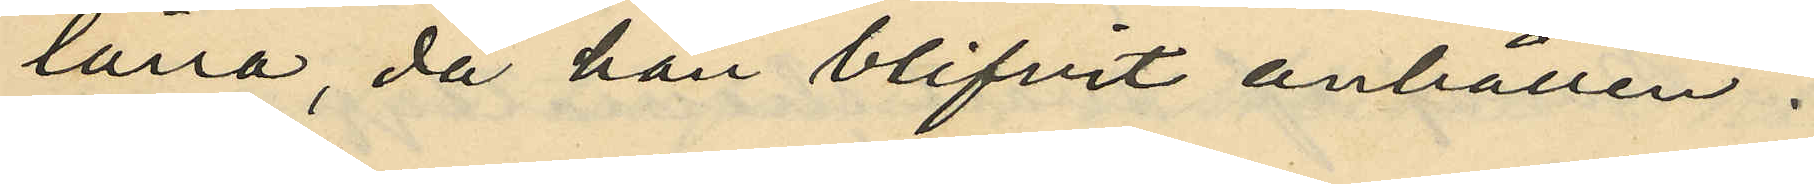låna, då han blifvit anhållen.
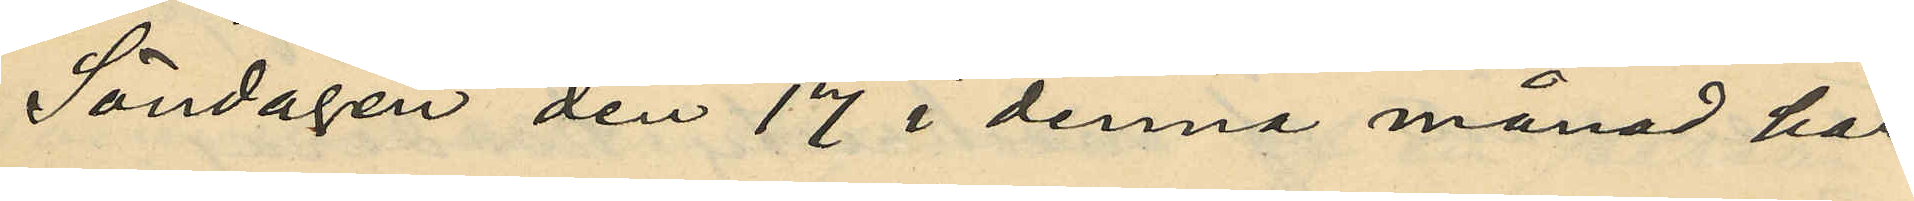Söndagen den 17 i denna månad har
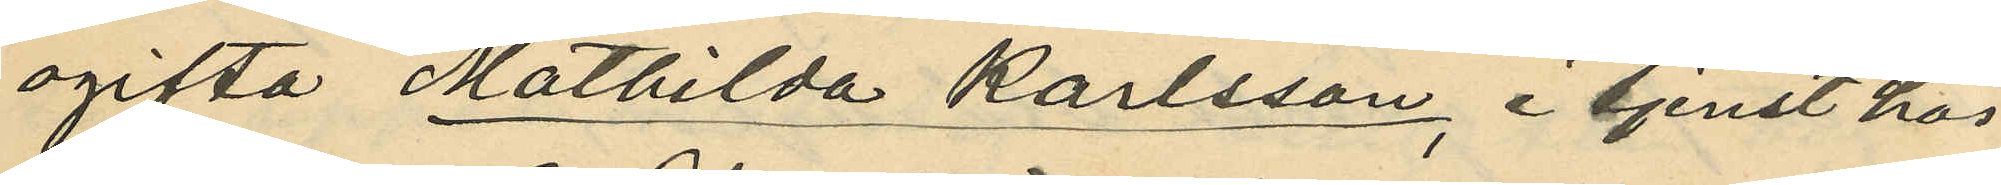ogifta Mathilda Karlsson i tjenst hos
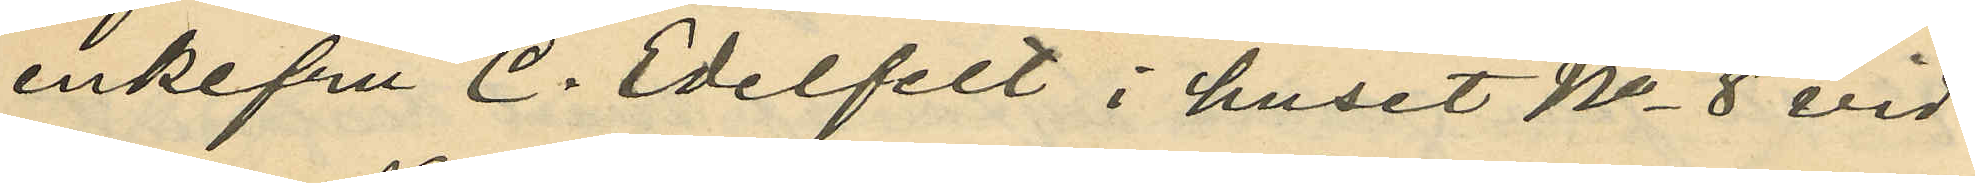enkefru C. Edelfelt i huset No 8 vid
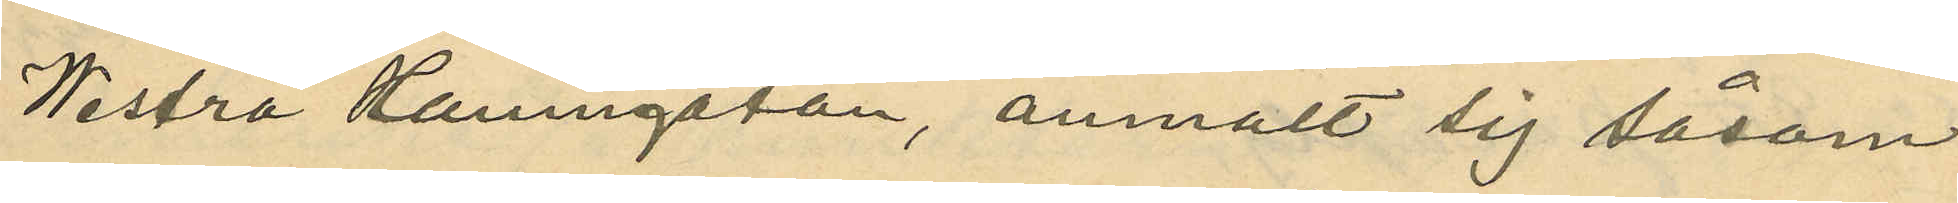Westra Hamngatan, anmält sig såsom
